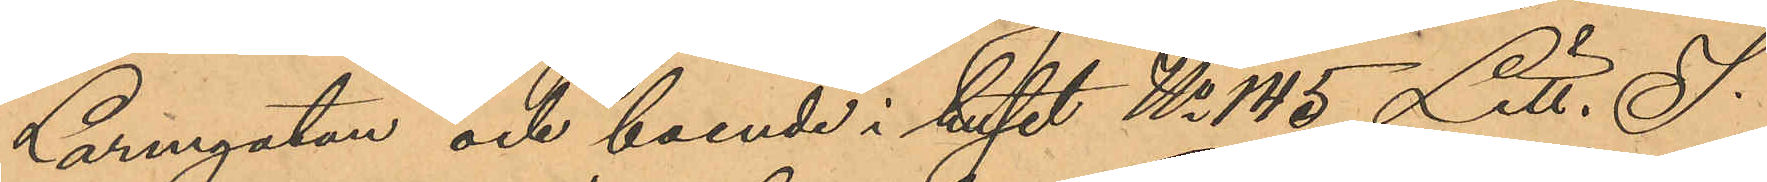Larmgatan och boende i huset No 145 Litt. S.
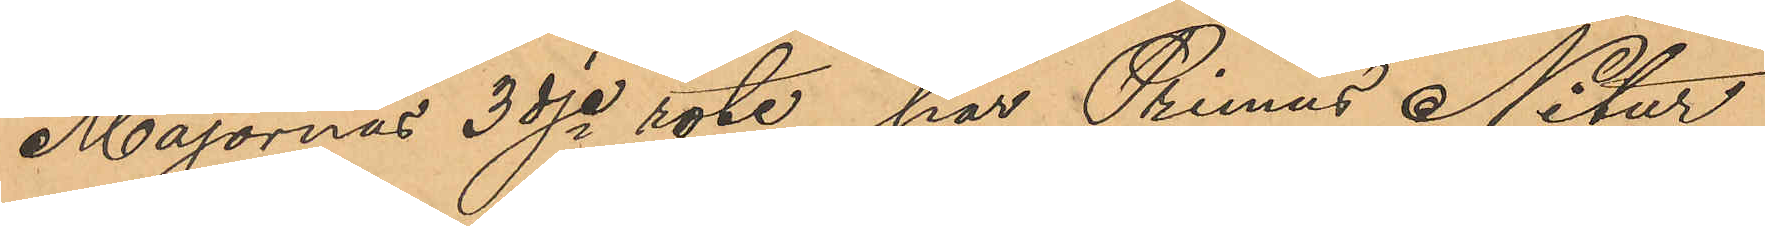Majornas 3dje rote, har Primus Nitur
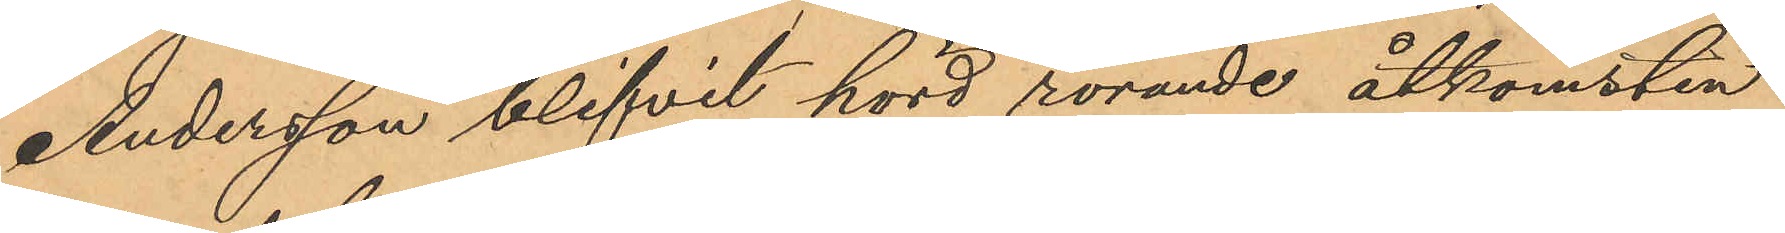Andersson blifvit hörd rörande åtkomsten
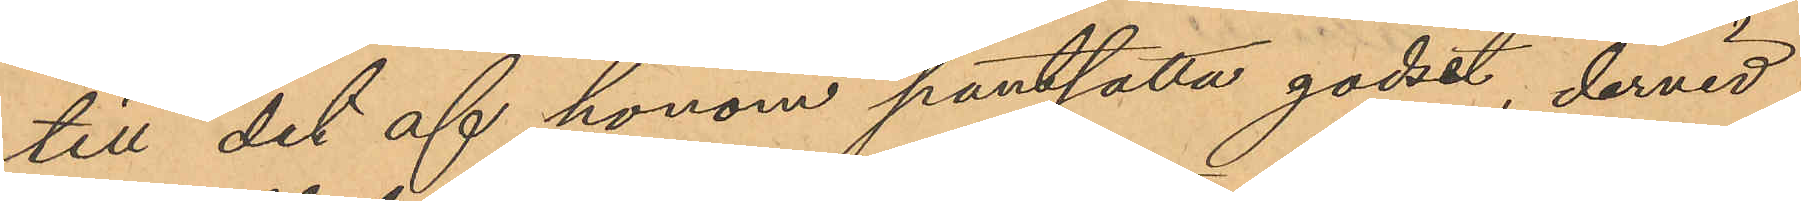till det af honom pantsatta godset, dervid
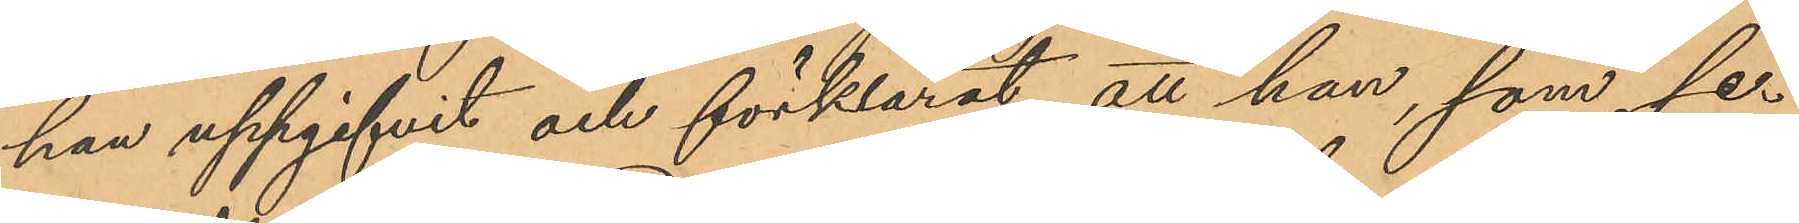han uppgifvit och förklarat, att han, som sed¬
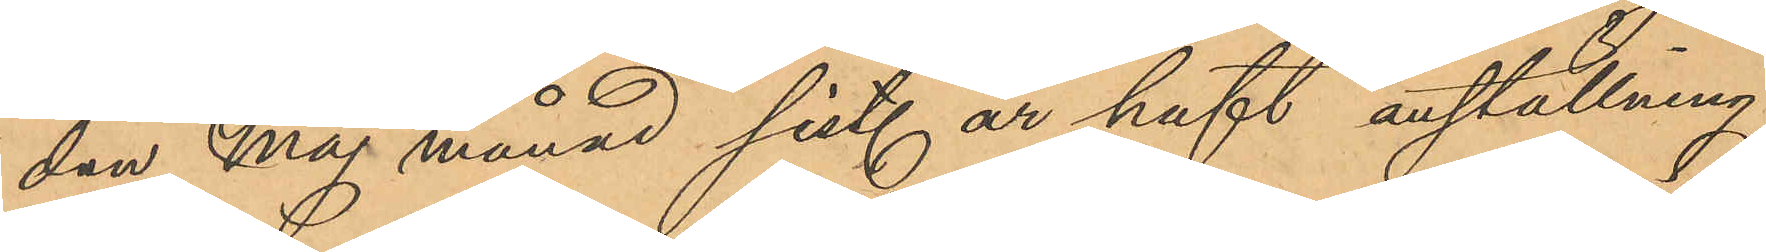dan Maj månad sist. år haft anställning
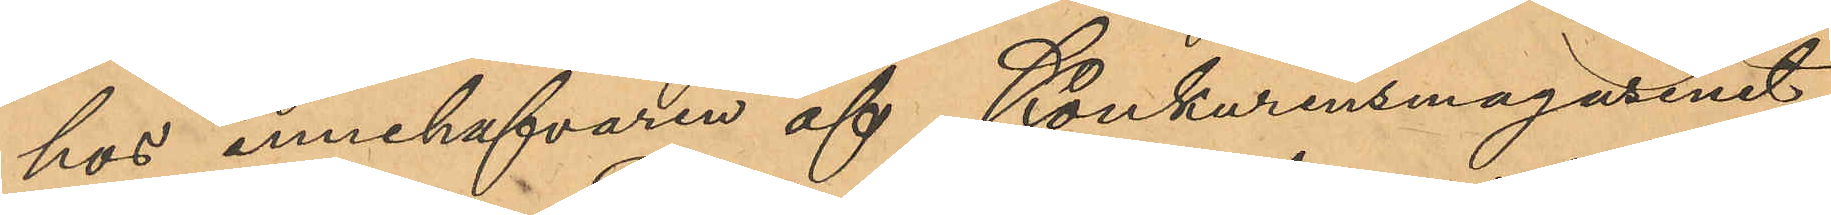hos innehafvaren af Konkurensmagasinet
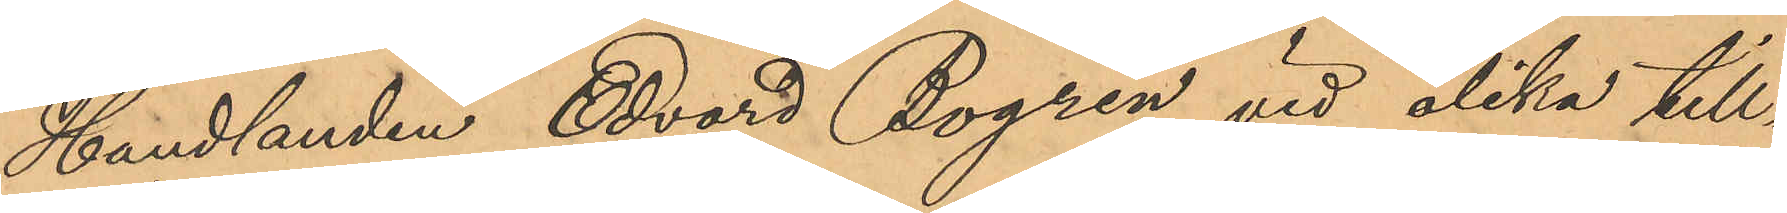Handlanden Edvard Bogren, vid olika till¬
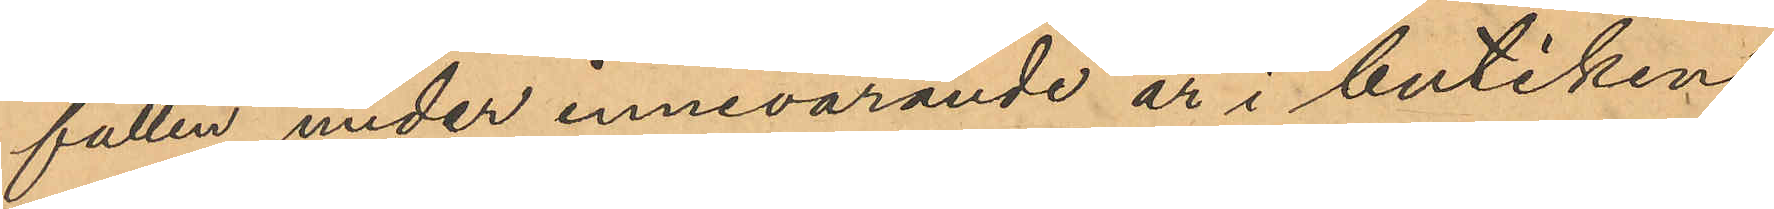fällen under innevarande år i butiken
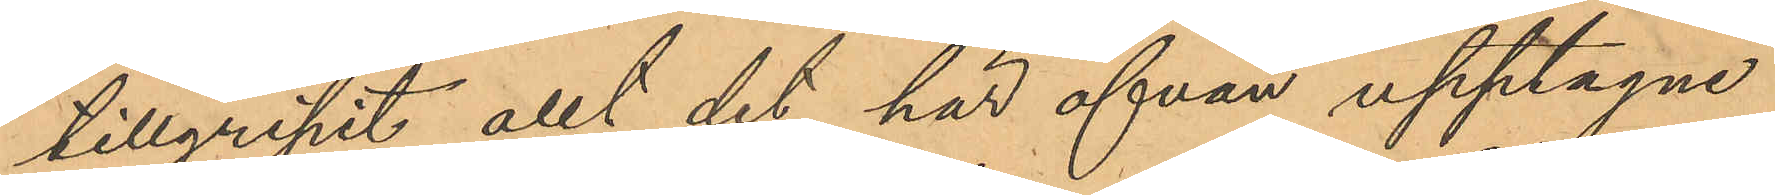tillgripit allt det här ofvan upptagne
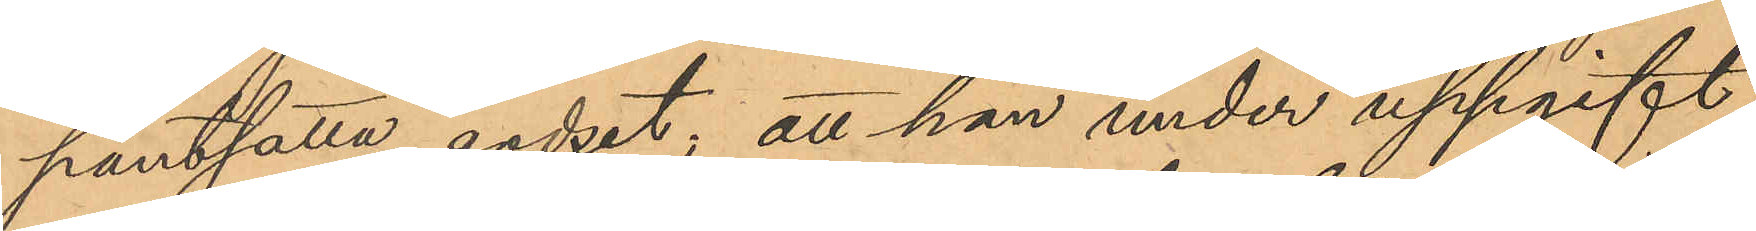pantsatta godset; att han under uppgift
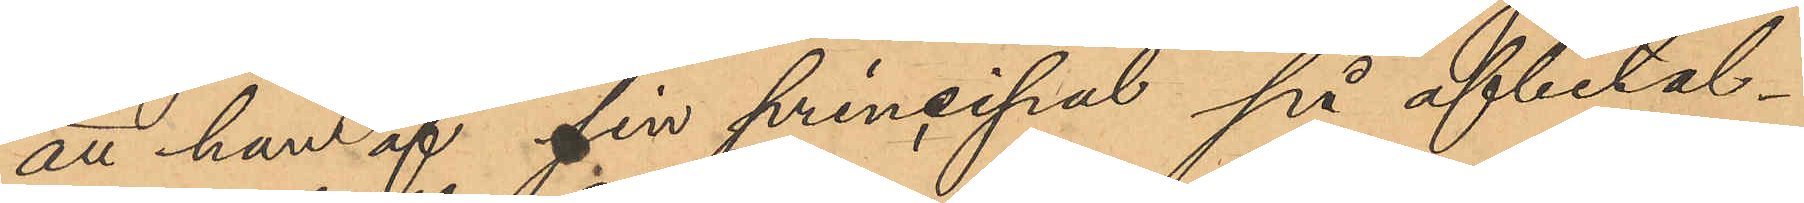att han af sin principal på afbetal¬
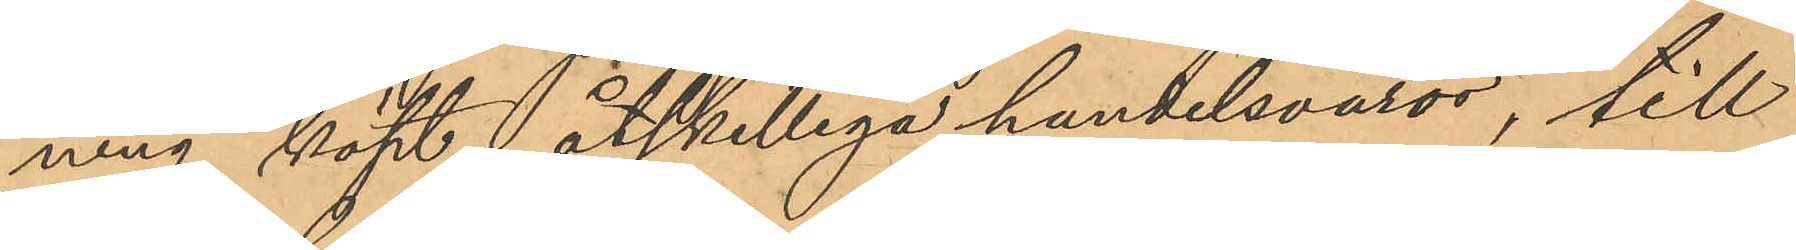ning köpt åtskilliga handelsvaror, till
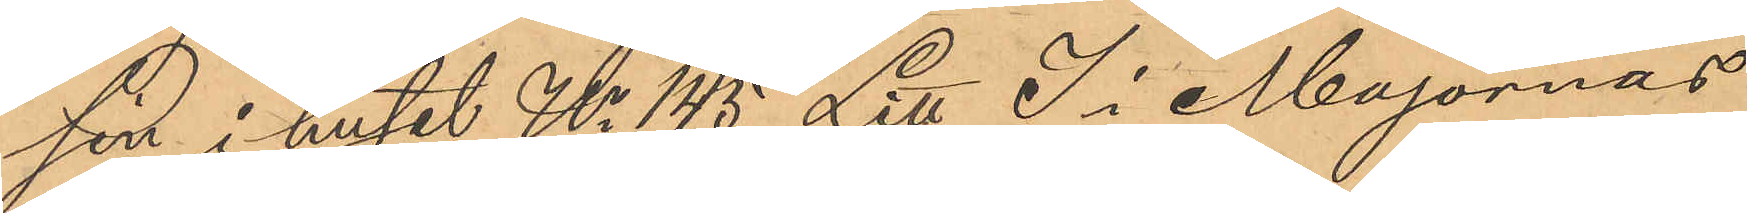sin i huset No 145 Litt S i Majornas
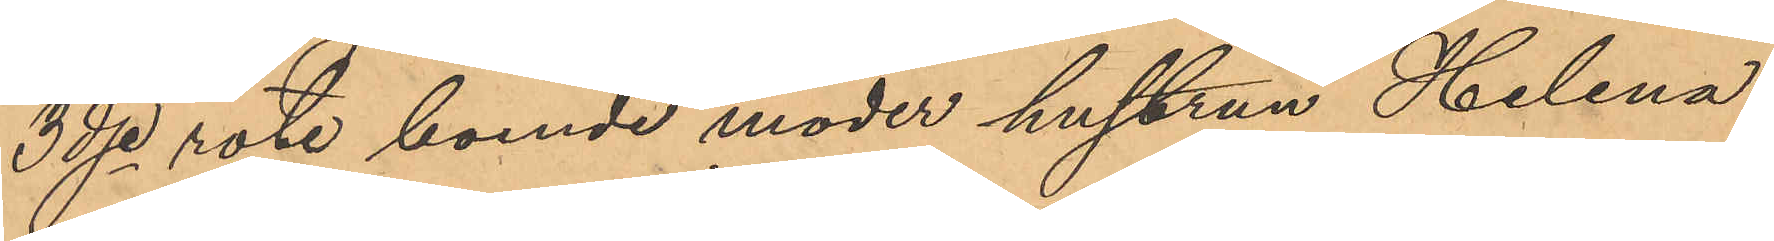3dje rote boende moder hustrun Helena
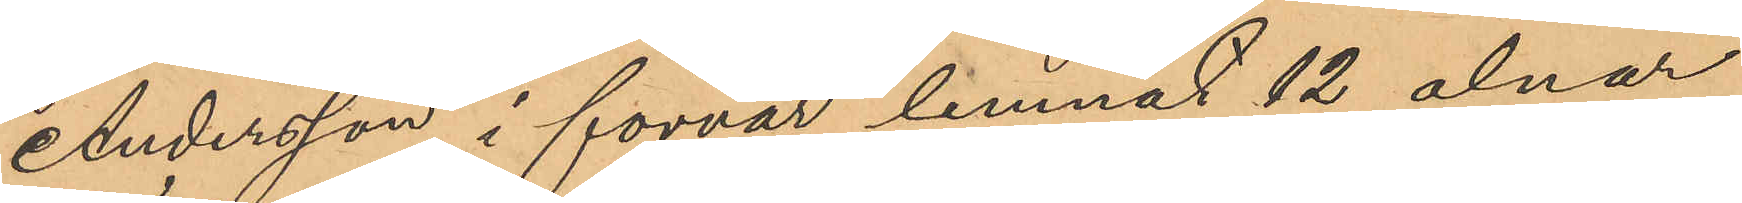Andersson i förvar lemnat 12 alnar
